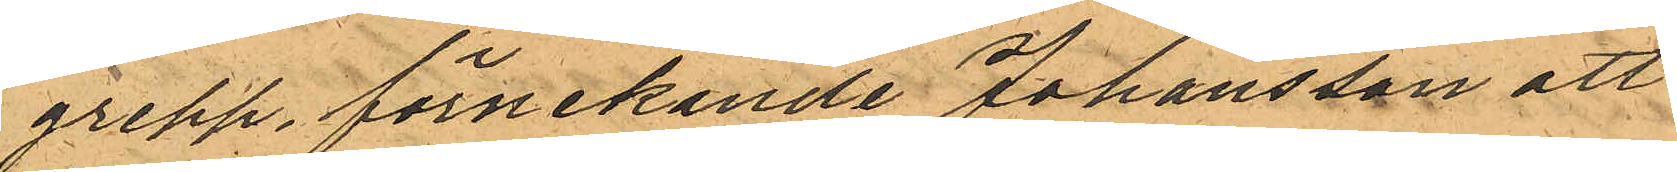grepp, förnekande Johansson att
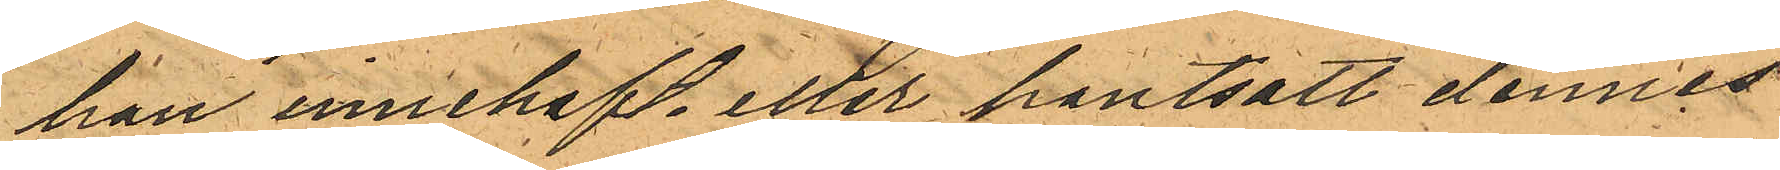han innehaft eller pantsatt dennes
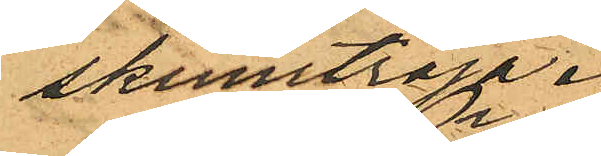skinntröja.
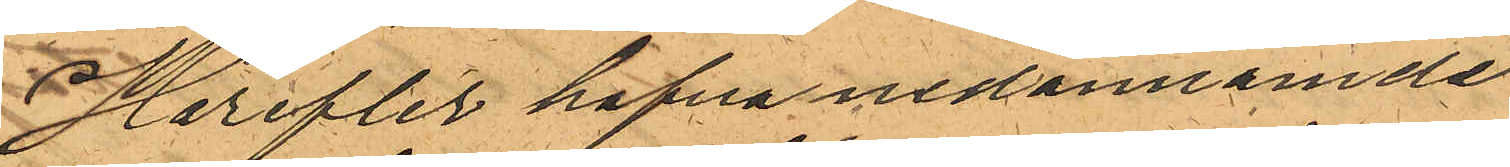Härefter hafva nedannämde
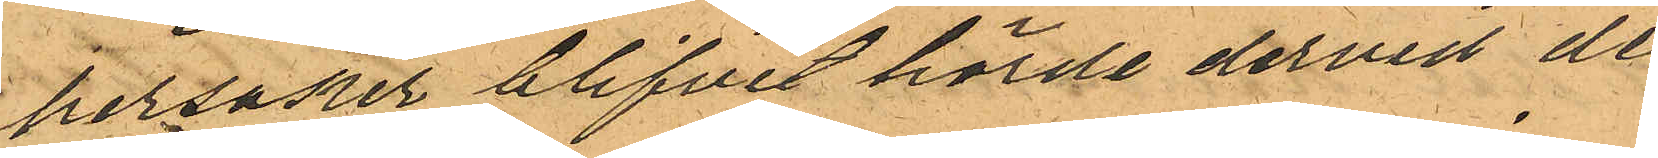personer blifvit hörde dervid de
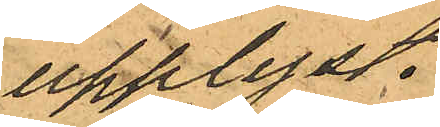upplyst.
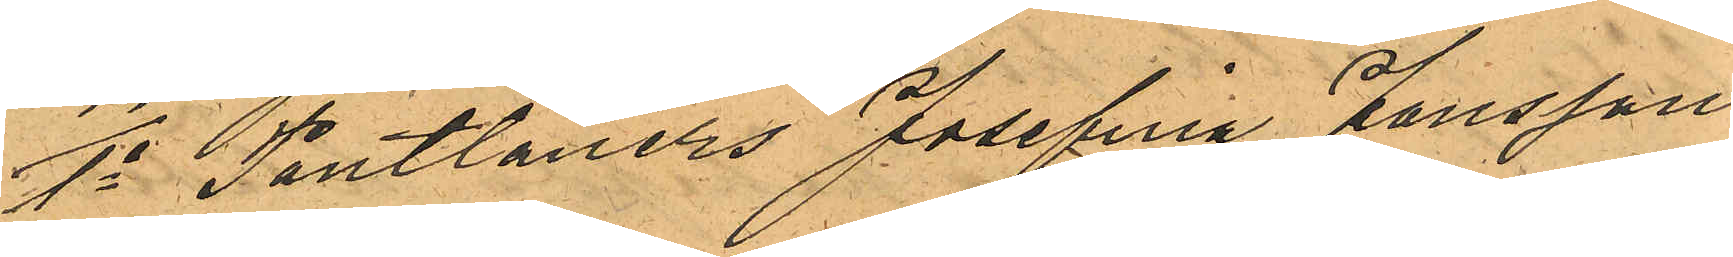1o Pantlåners Josefina Jonsson
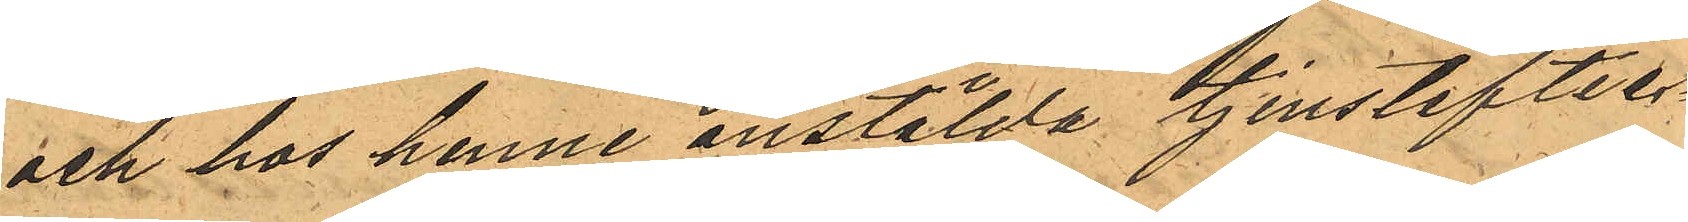och hos henne anstälda tjensteflic¬
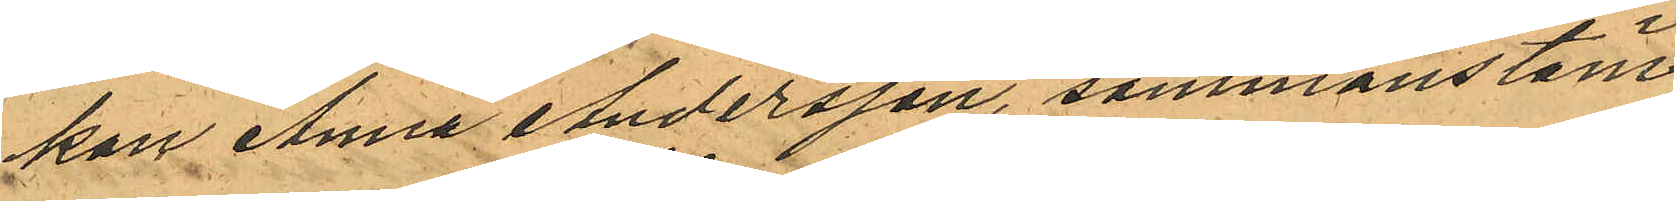kan Anna Andersson, sammanstäm¬
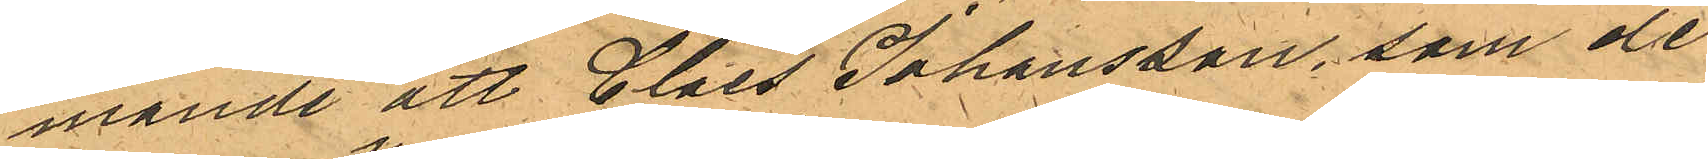mande att Claes Johansson, som de
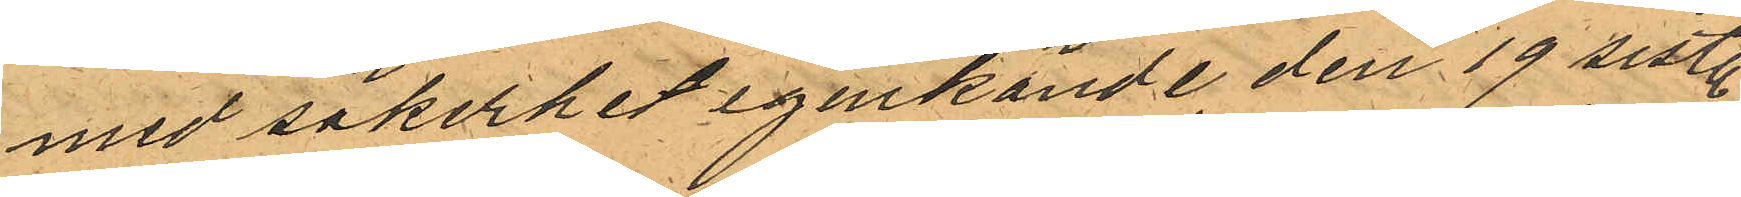med säkerhet igenkände den 19 sistl.
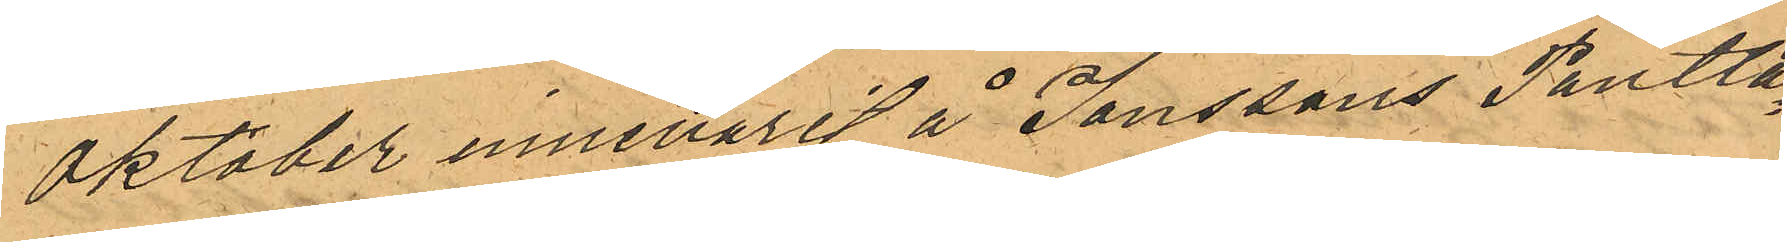Oktober innevarit å Jonssons Pantlå¬
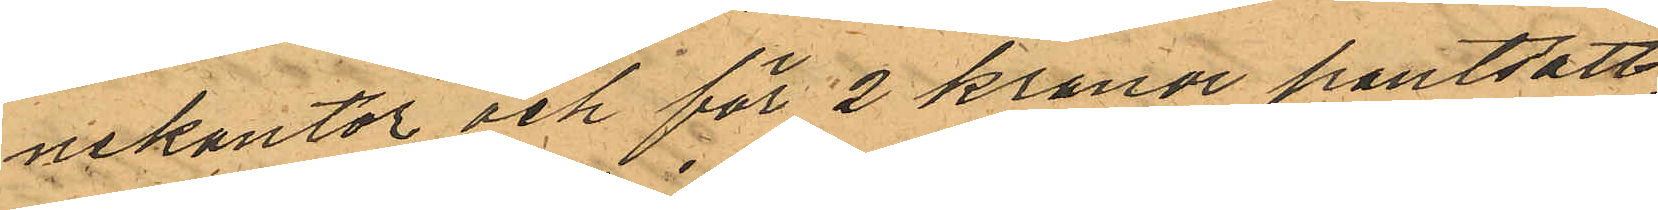nekontor och för 2 kronor pantsatt,
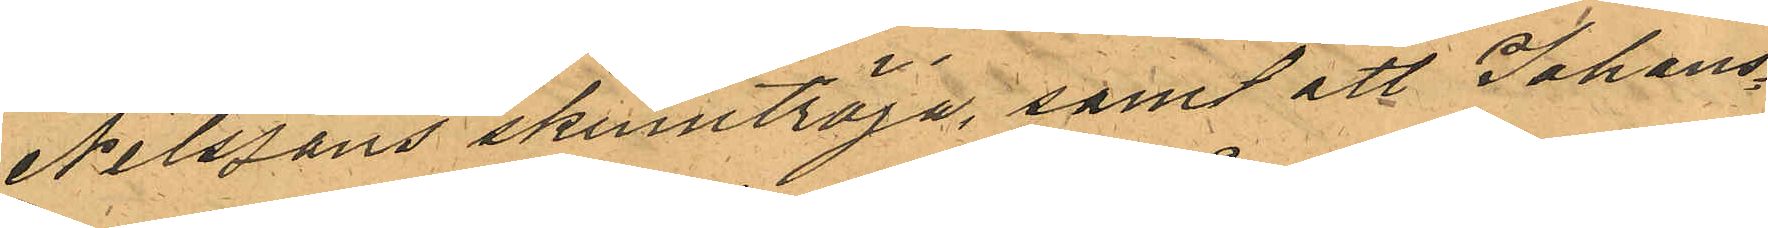Nilssons skinntröja, samt att Johans¬
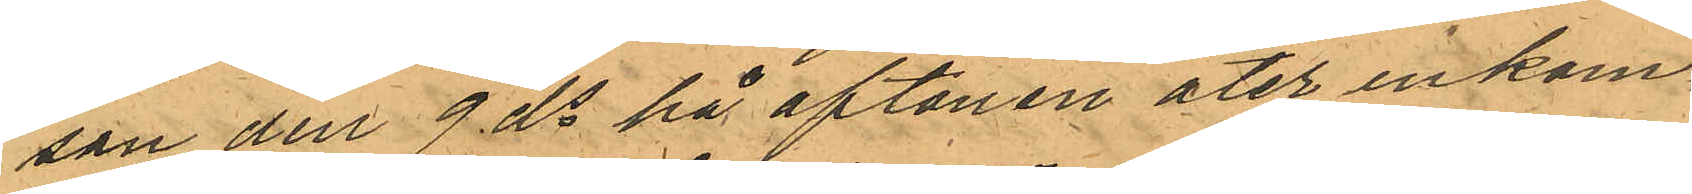son den 9 ds på aftonen åter inkom¬
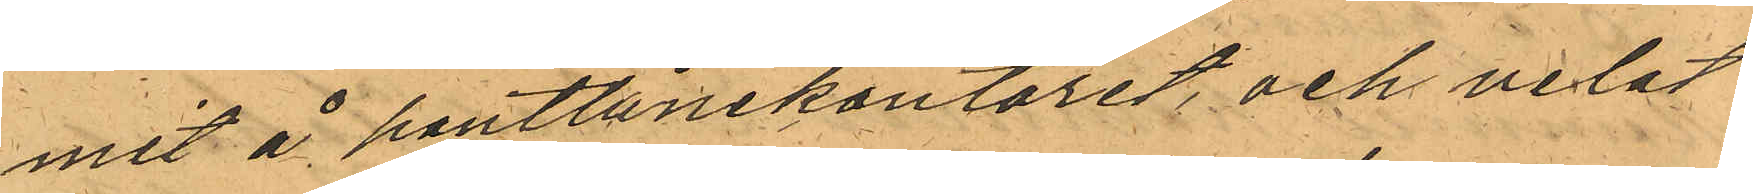mit å pantlånekontoret, och velat
